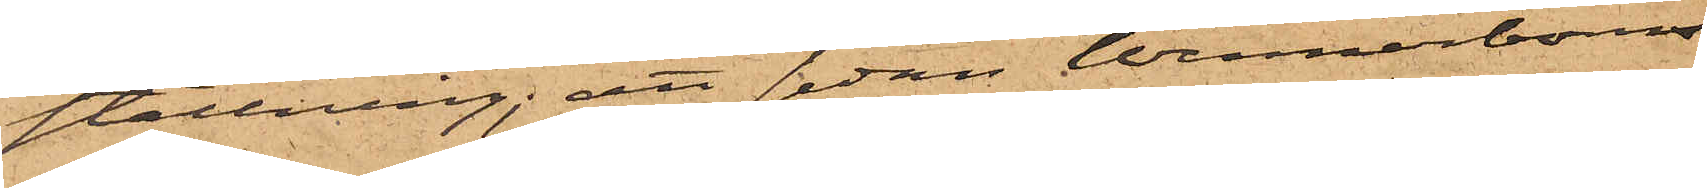ställning; att sedan Wennerboms
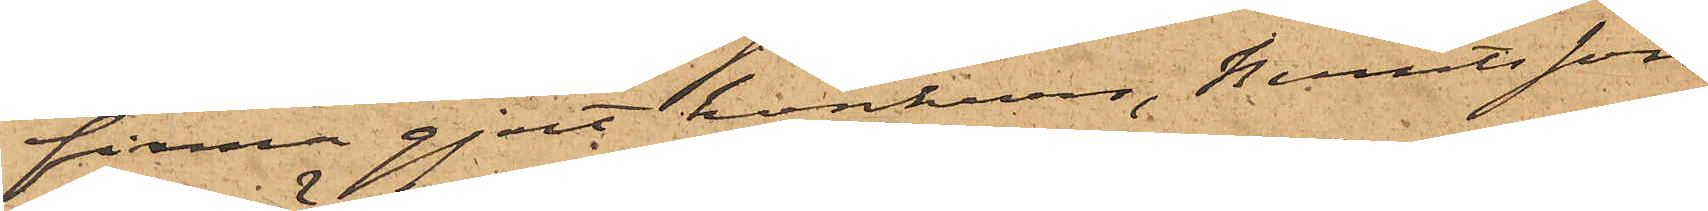firma gjort konkurs, Berntsson
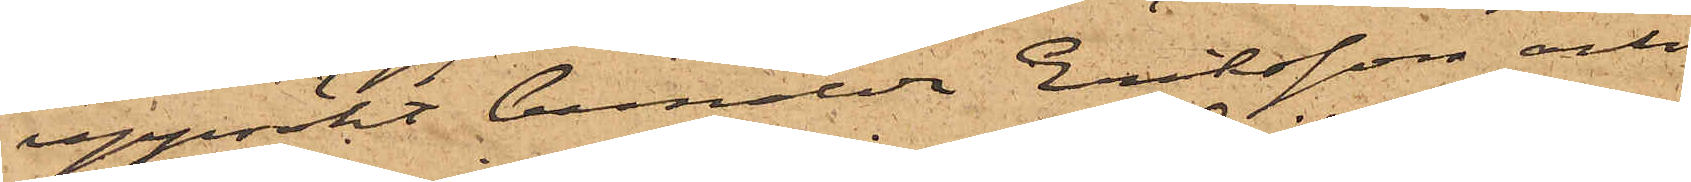uppsökt bemälda Eriksson och
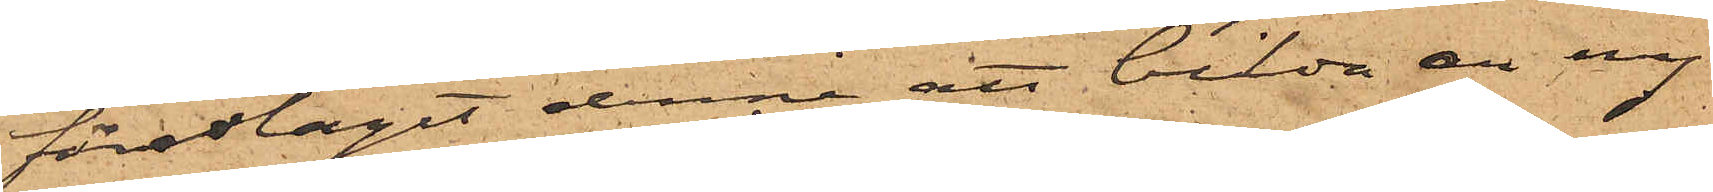föreslagit denne att bilda en ny
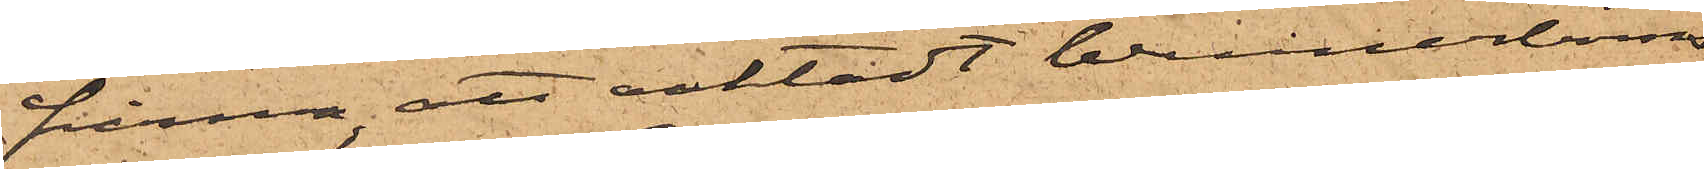firma, att oaktadt Wennnerboms
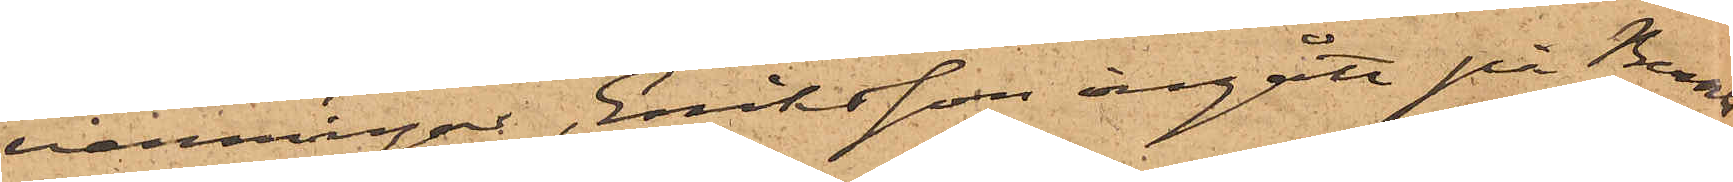varningar, Eriksson ingått på Bernts¬
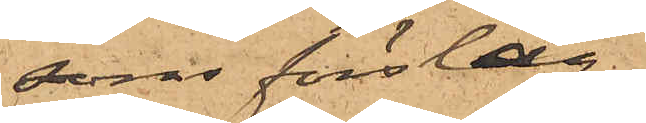sons förslag,
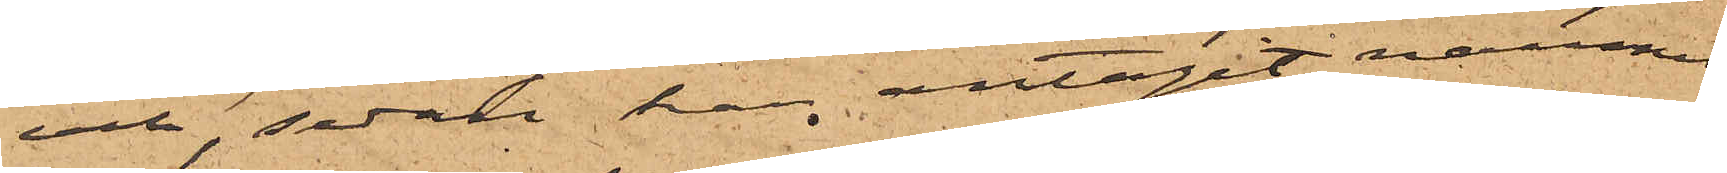och, sedan han antagit namnet
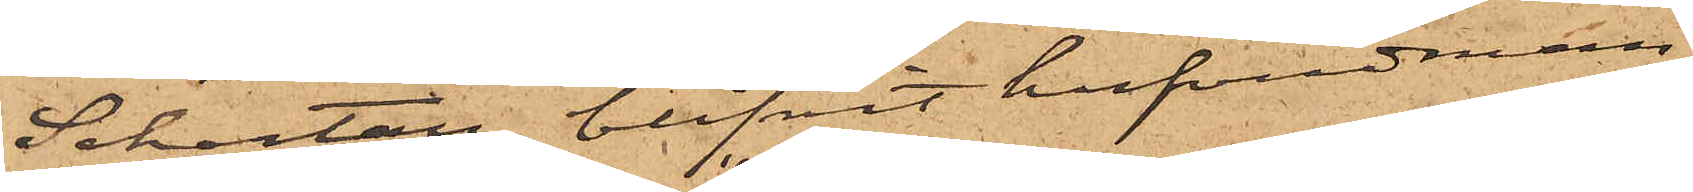Schartau, blifvit hufvudman
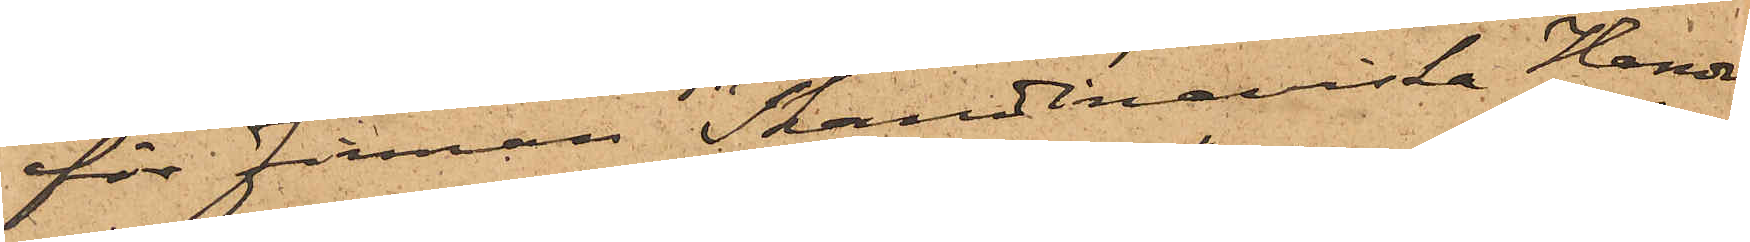för Firman "Skandinaviska Handels
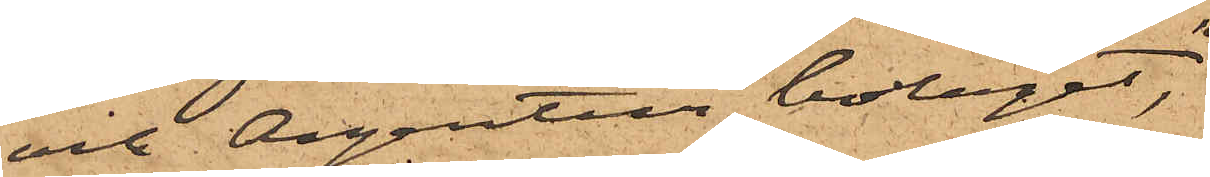och Agentur bolaget",
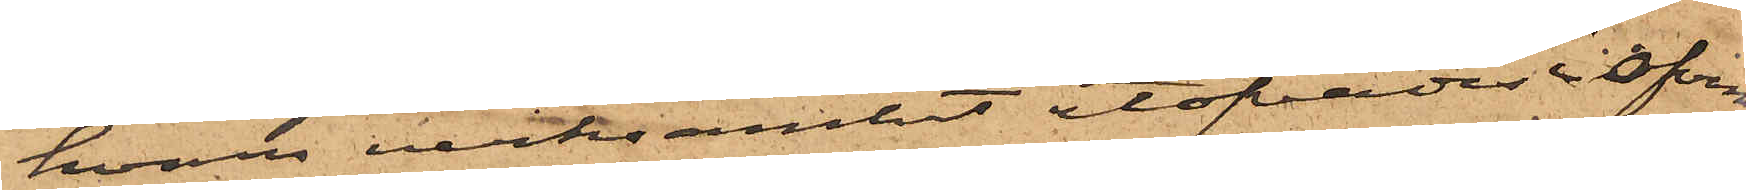hvars verksamhet utöfvades i ofvan¬
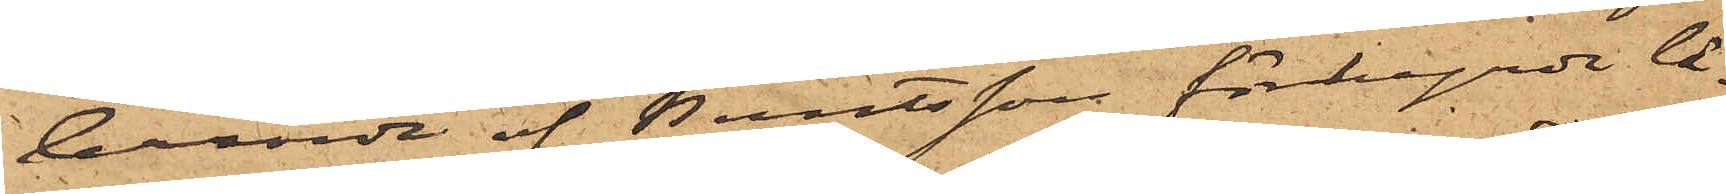berörde af Berntsson förhyrde lä¬
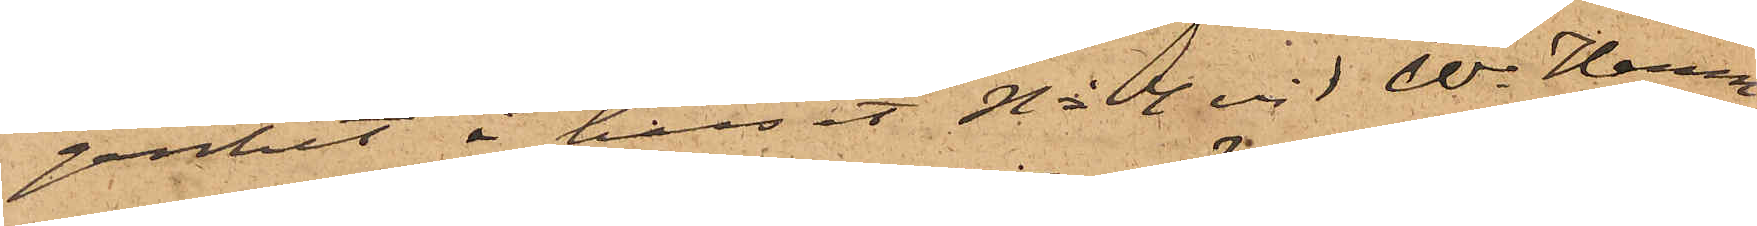genhet i huset No 4 vid W. Hamn¬
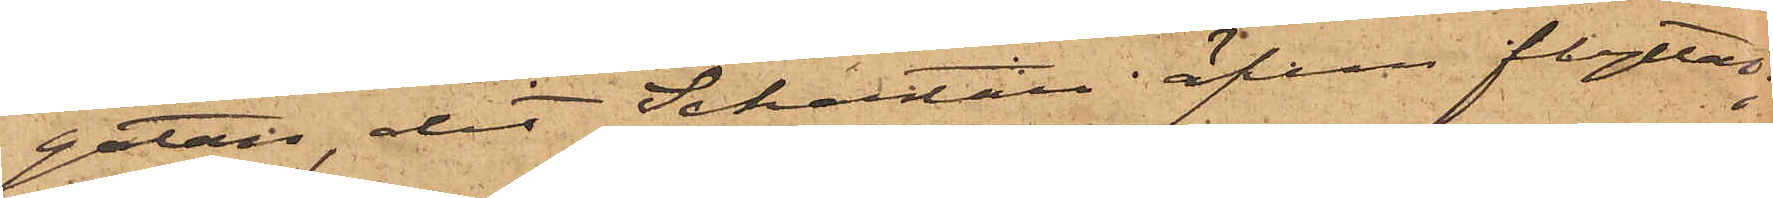gatan, dit Schartau äfven flyttat;
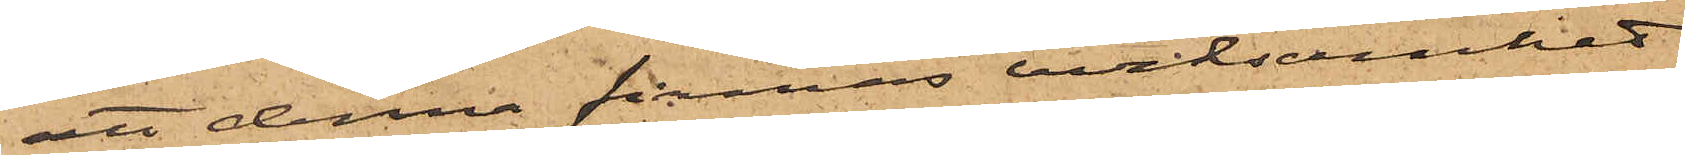att denna firmas verksamhet
